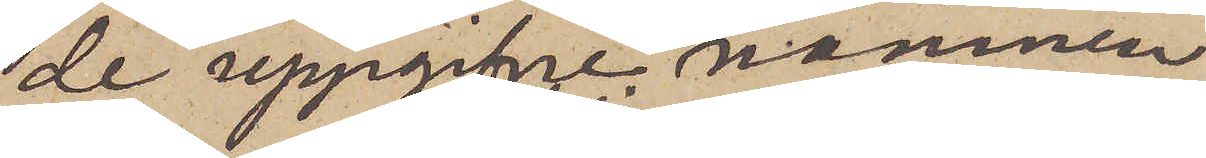de uppgifne namnen
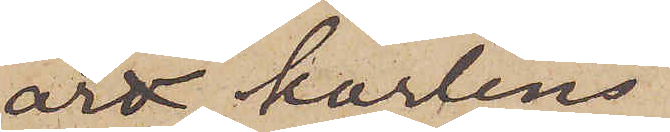är karlens
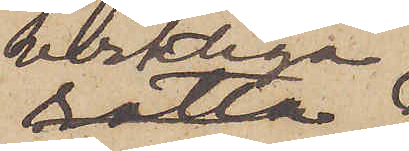verkliga
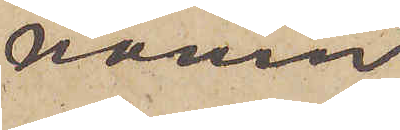namn
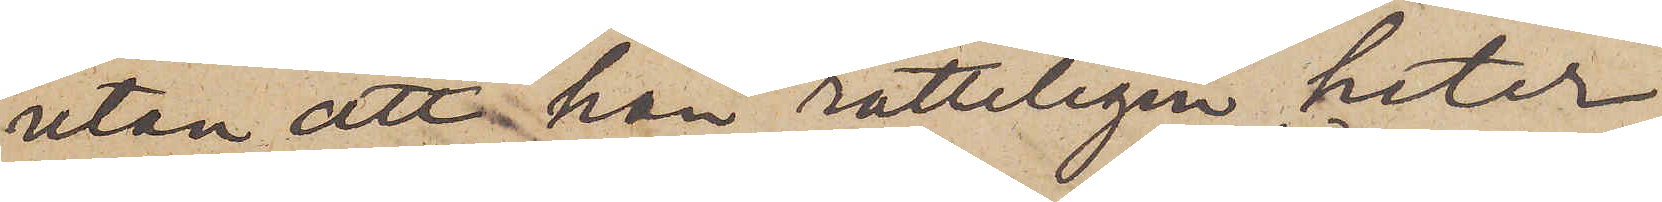utan att han rätteligen heter
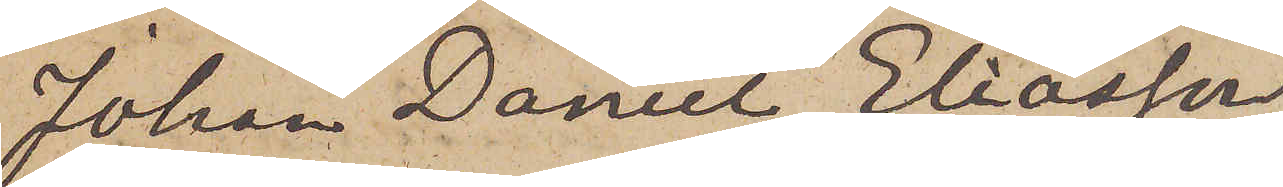Johan Daniel Eliasson
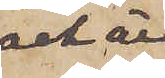och är
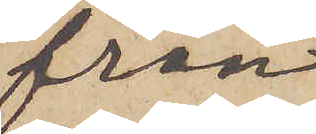från
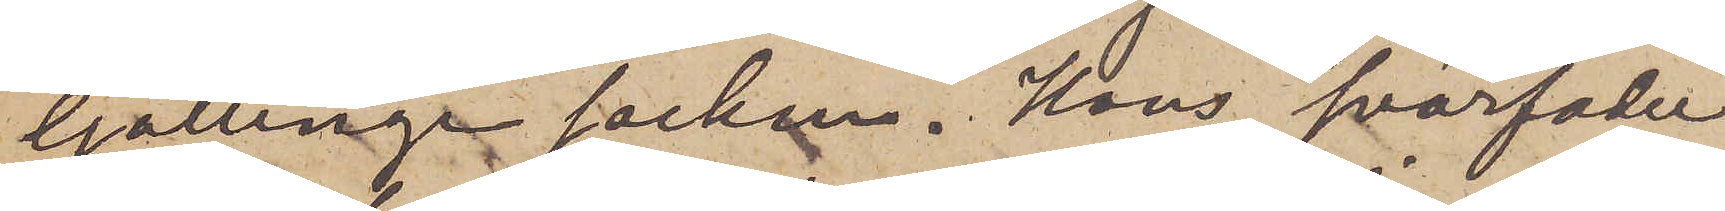Gällinge socken. Hans svärfader
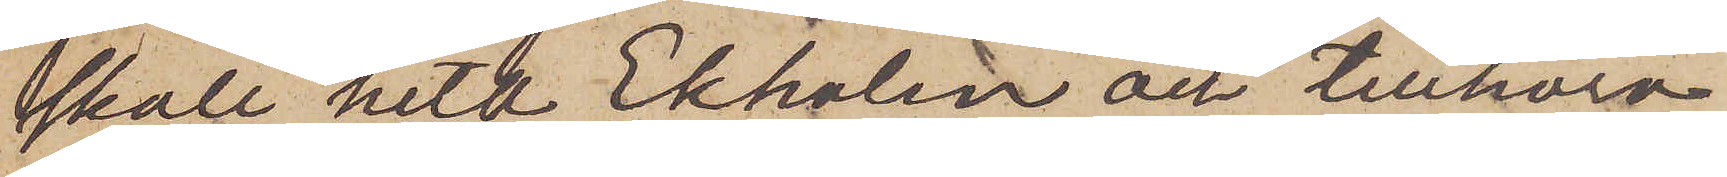skall heta Ekholm och tillhöra
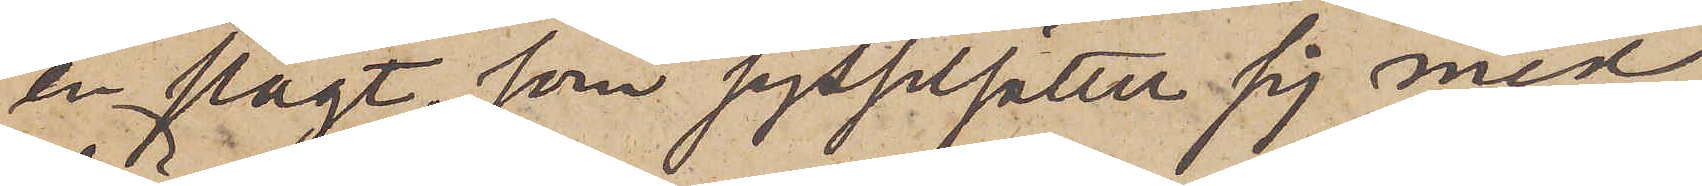en slägt som sysselsätter sig med
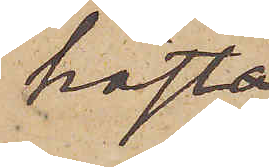häst
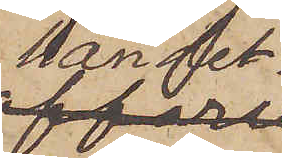handel.
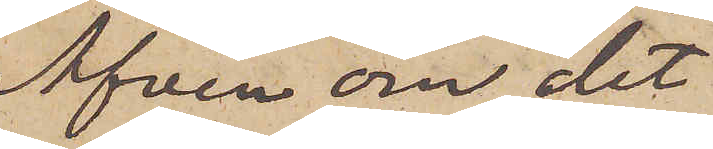Äfven om det
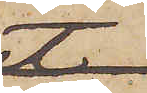inte
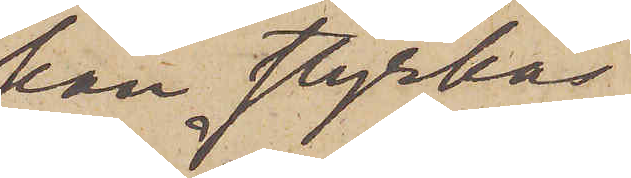kan styrkas,
